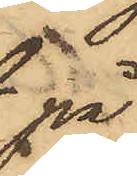på
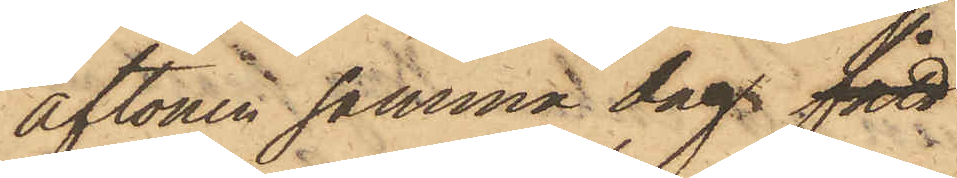aftonen samma dag fått
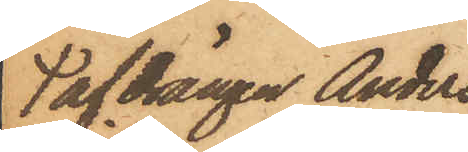af drängen Anders
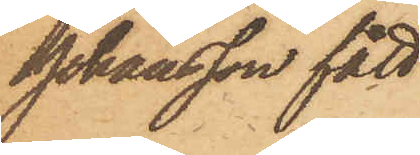Johansson fått
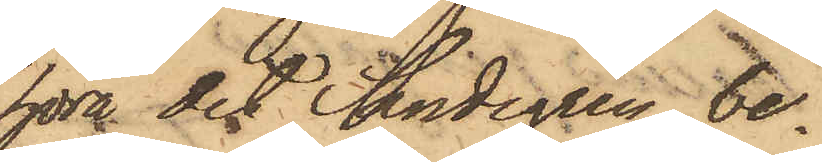höra det Sandegren be¬
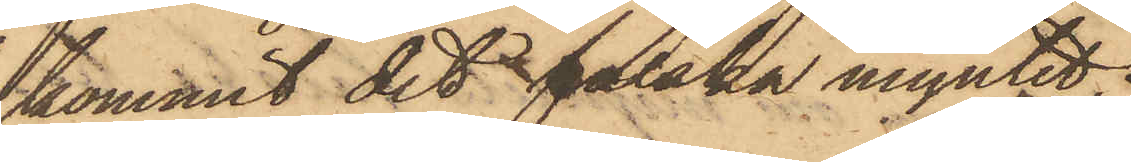kommit det falska myntet,
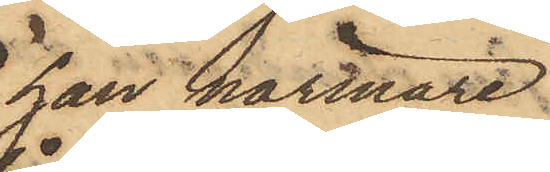han närmare
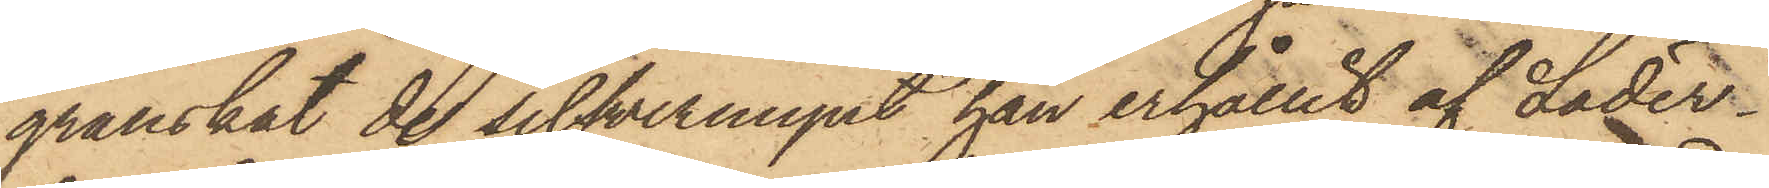granskat de silfvermynt han erhållit af Läder¬
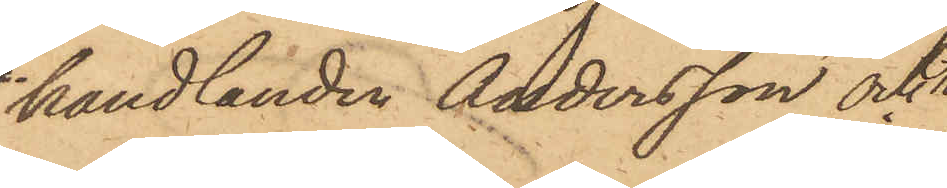handlanden Andersson och
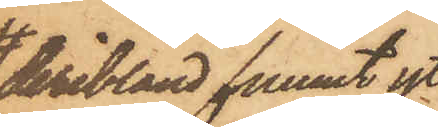deribland funnit yt¬
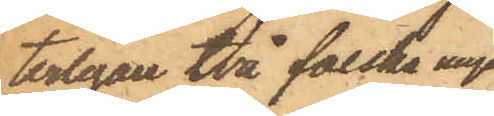terligare två falska mynt
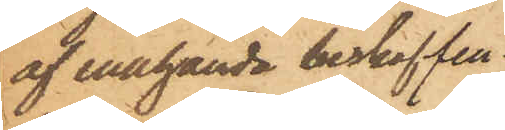af enahanda beskaffen¬
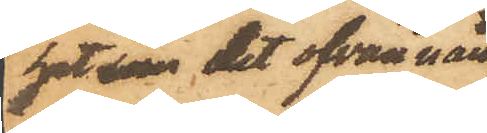het som det ofvan nämn¬
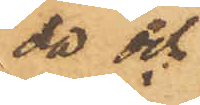da och
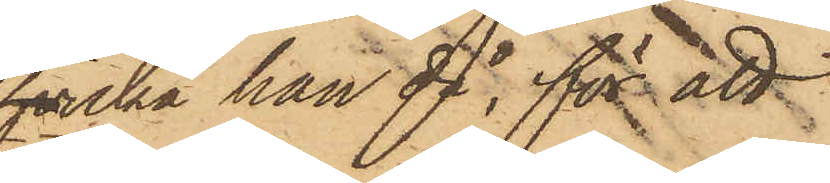hvilka han då, för att
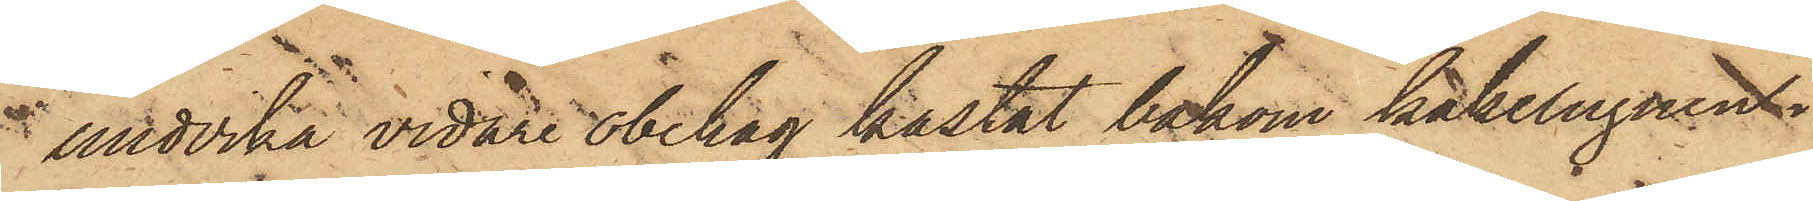i undvika vidare obehag kastat bakom kakelugnen i
